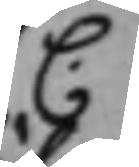C.
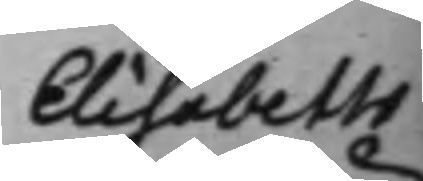Elisabeth
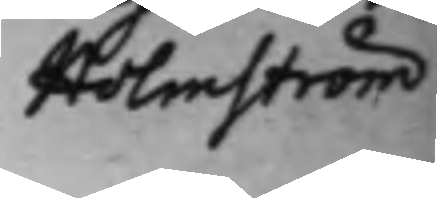Holmström
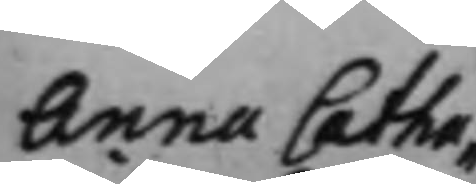Anna Catha¬
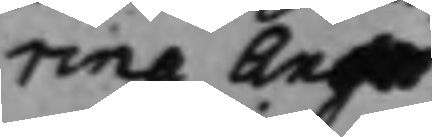rina Anger¬
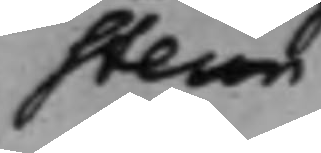stein
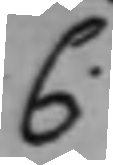C.
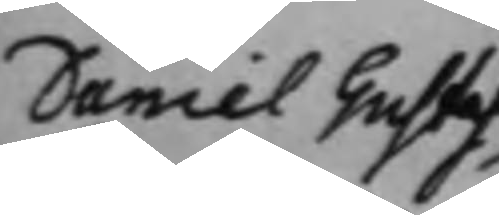Daniel Gustaf
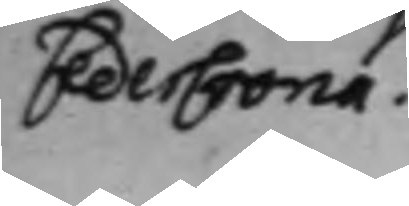CederCrona.
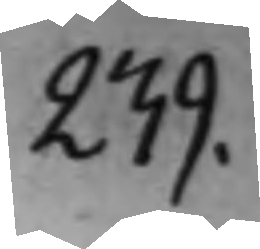239.
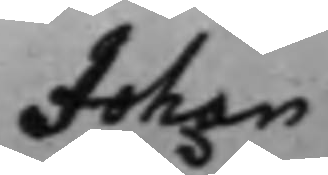Johan
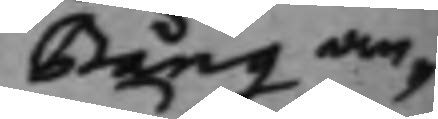Bång an¬
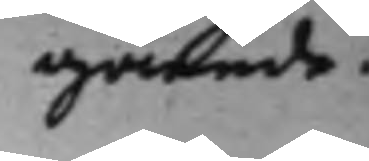gående.
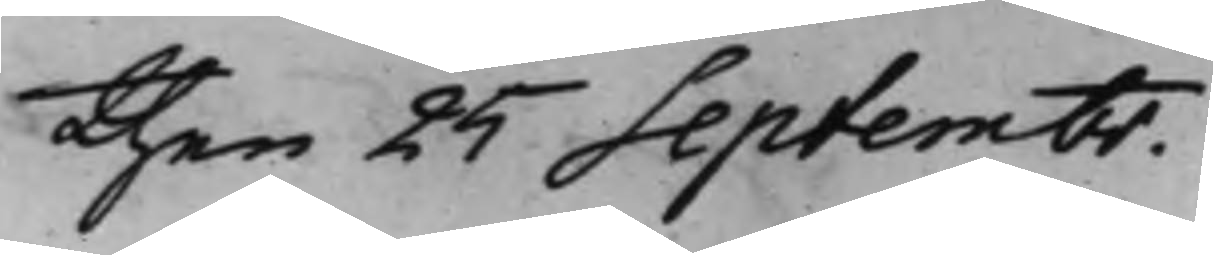then 25 Septembr.
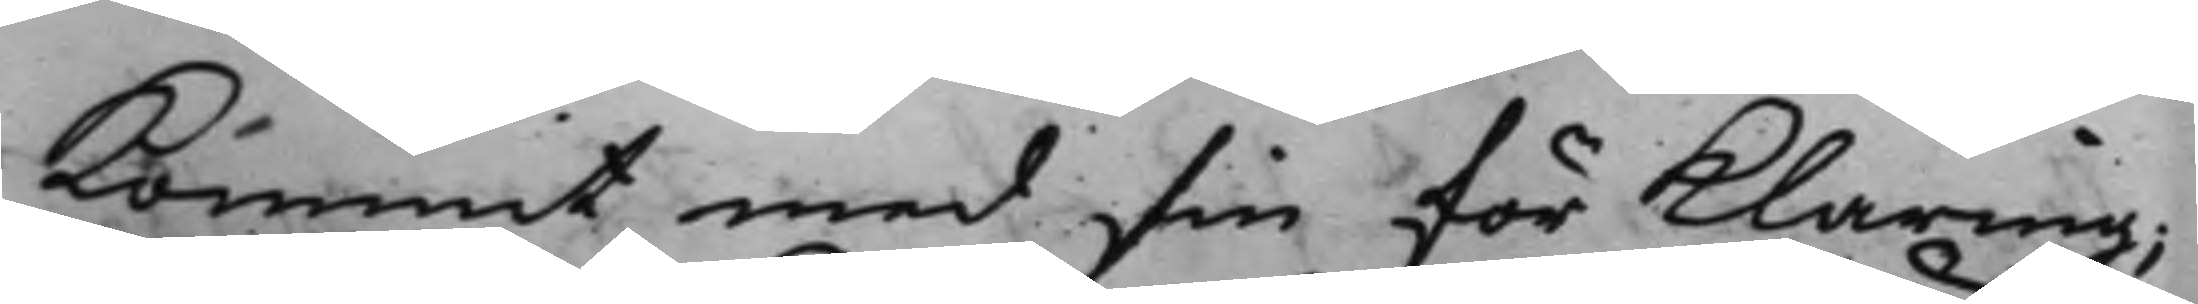kommit med sin förklaring;
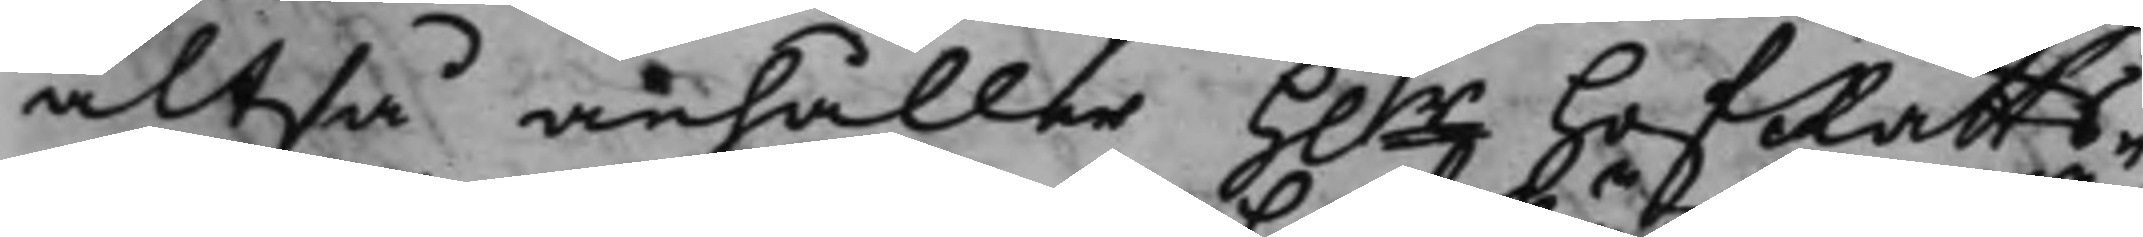altså anhåller H.r HofRätts¬
